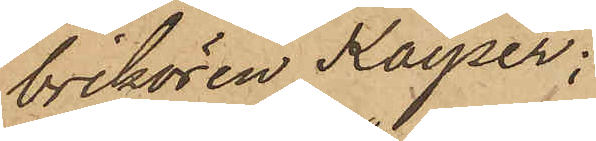brikören Kayser;
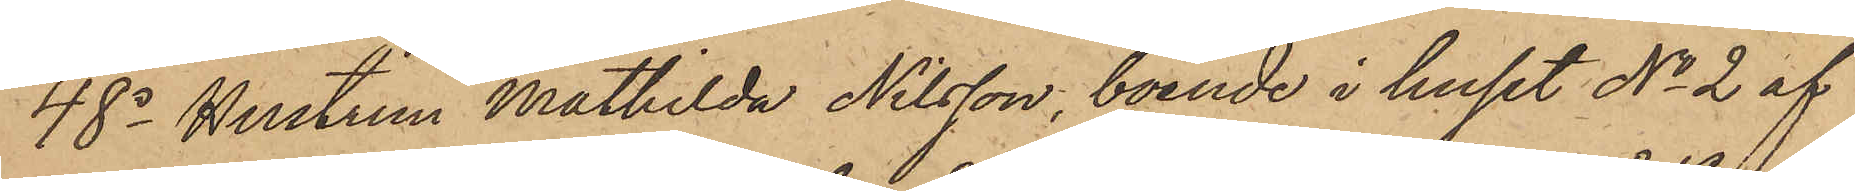48o Hustrun Mathilda Nilsson, boende i huset No 2 af
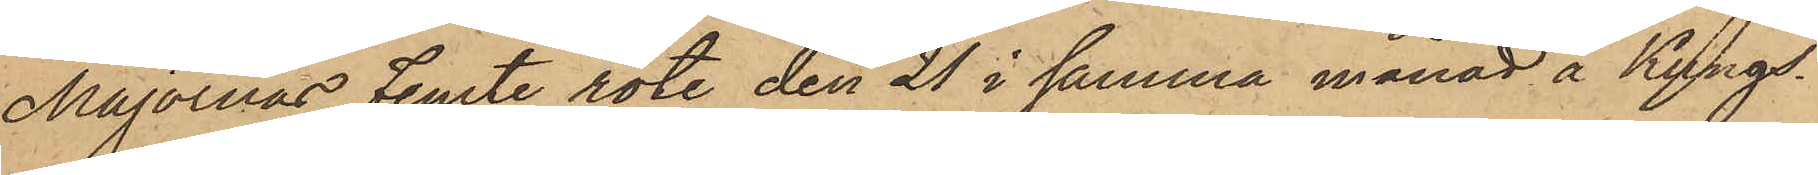Majornas Femte rote den 21 i samma månad å Kungs¬
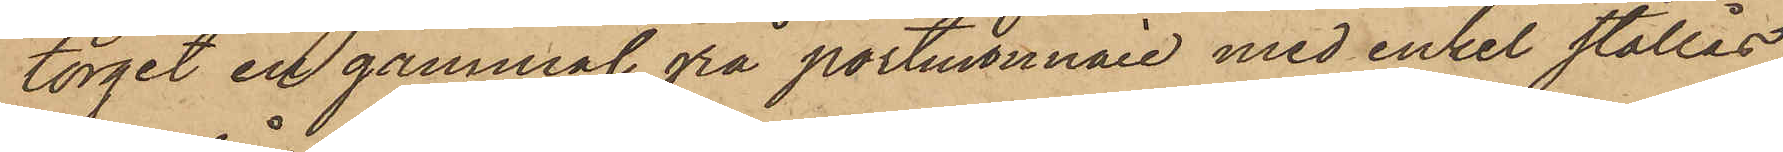torget en gammal grå portmonnaie med enkel stållås,
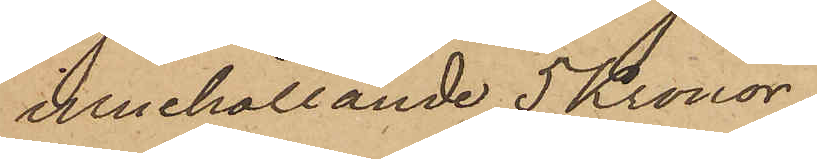innehållande 5 Kronor;
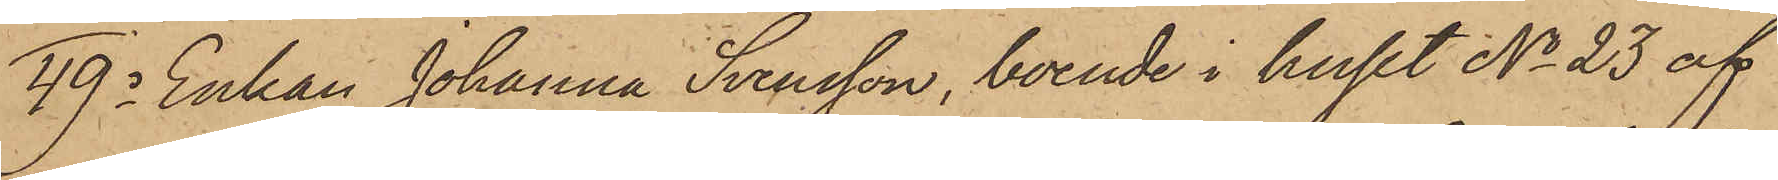49o Enkan Johanna Svensson, boende i huset No 23 af
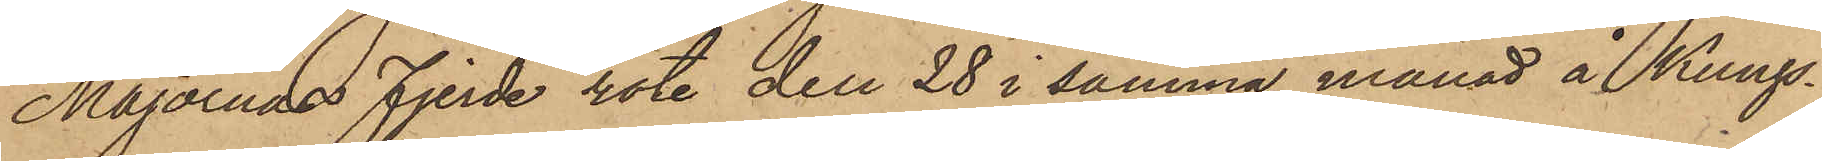Majornas Fjerde rote den 28 i samma månad å Kungs¬
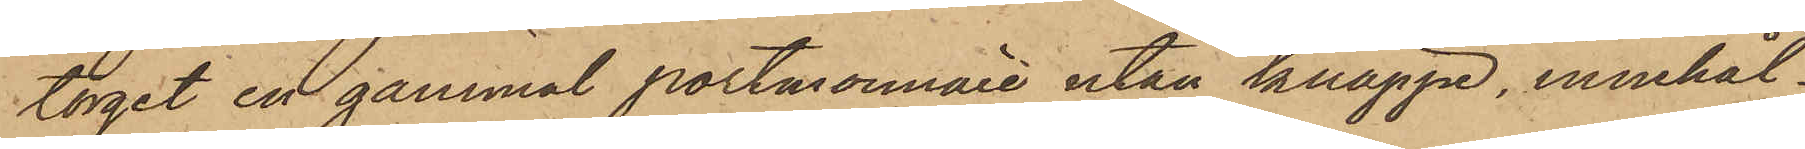torget en gammal portmonnaie utan knäppe, innehål¬
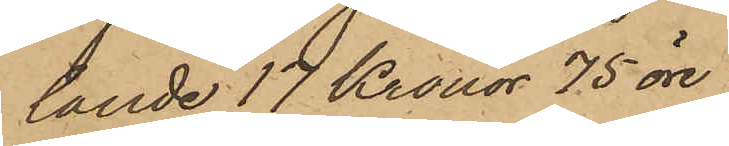lande 17 Kronor 75 öre;
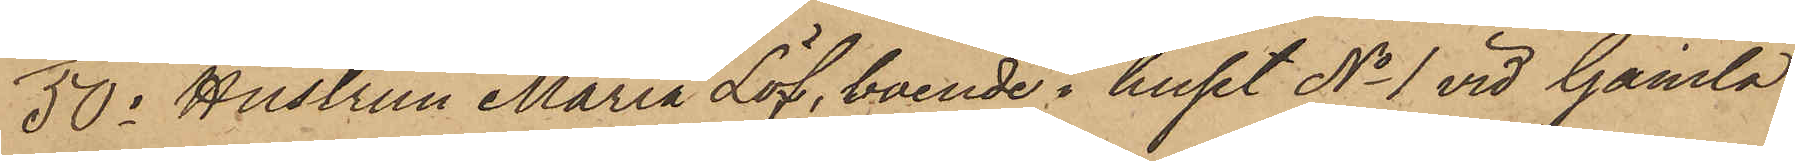50o Hustrun Maria Löf, boende i huset No 1 vid Gamla
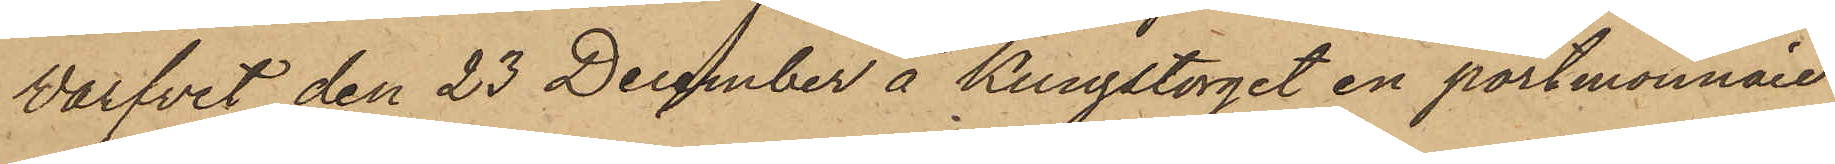Varfvet den 23 December å Kungstorget en portmonnaie
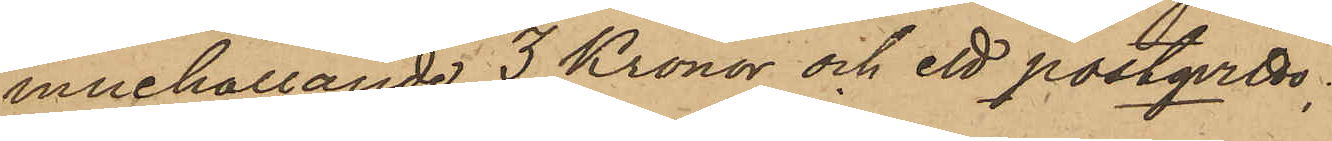innehållande 3 Kronor och ett postqvitto;
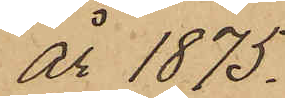år 1875.
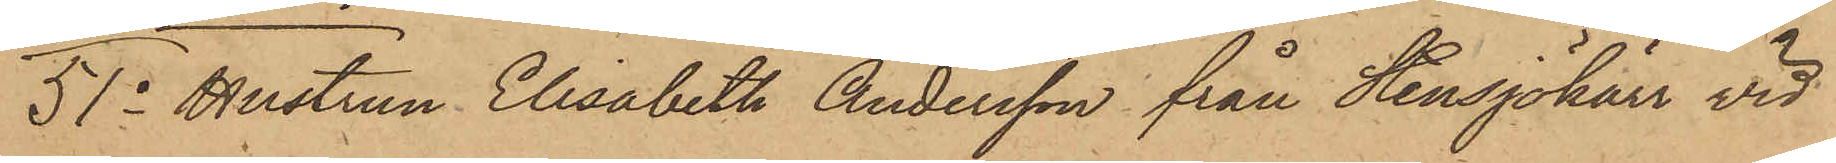51o Hustrun Elisabeth Andersson från Stensjökärr vid
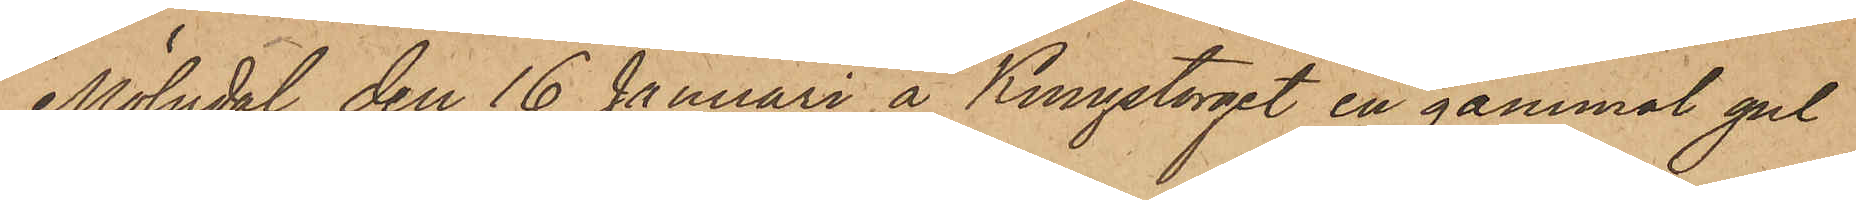Mölndal den 16 Januari å Kungstorget en gammal gul
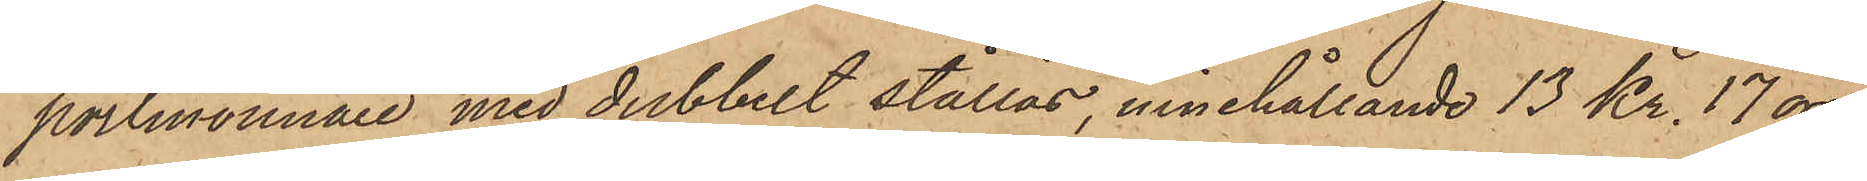portmonnaie med dubbelt stållås, innehållande 13 Kr. 17 öre
